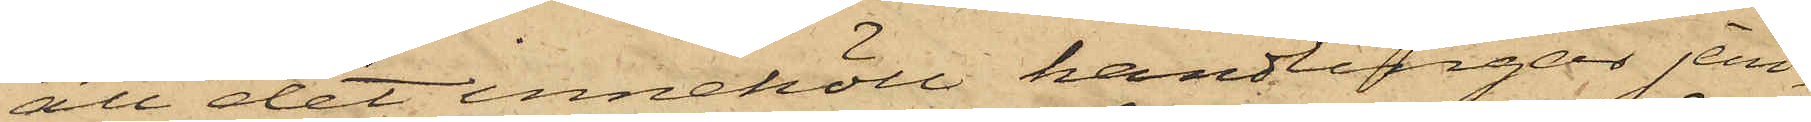att det innehöll handlingar jem¬
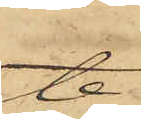te
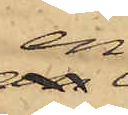en
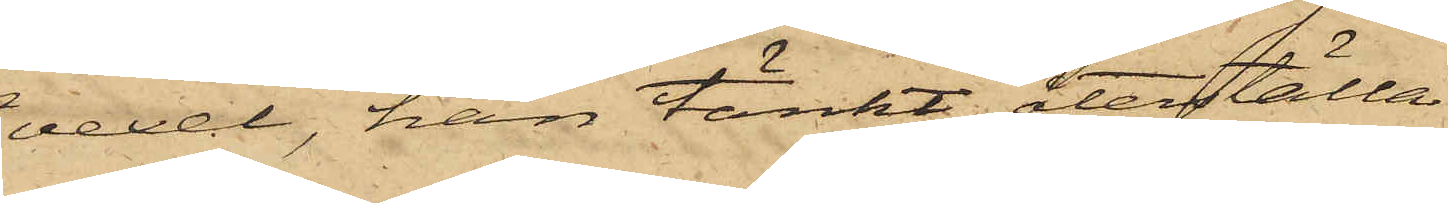vexel, han tänkt återställa
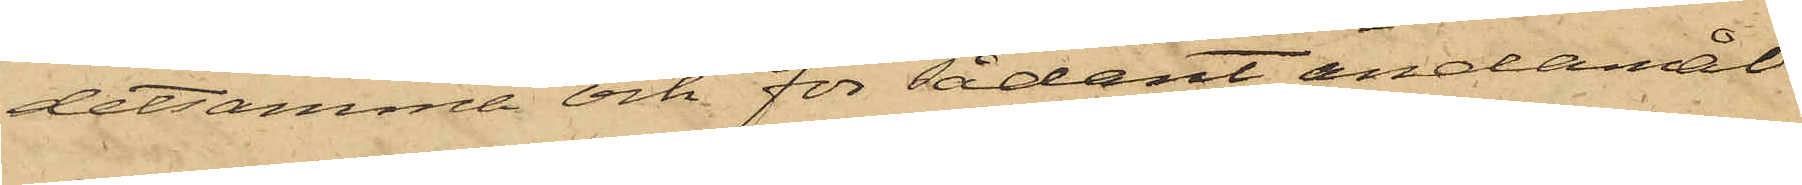detsamma och för sådant ändamål
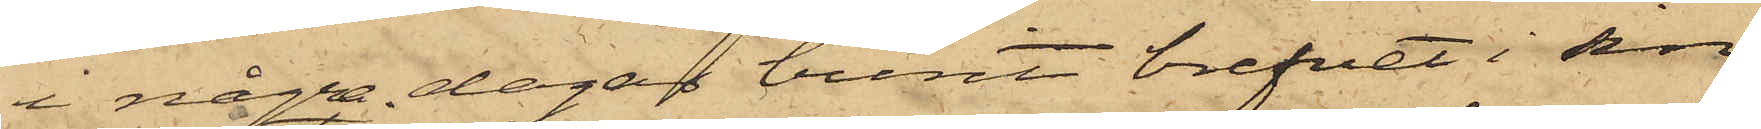i några dagar burit brefvet i sin
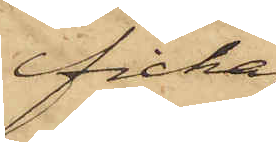ficka,
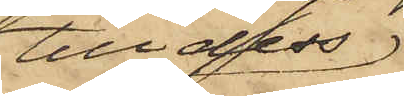till dess
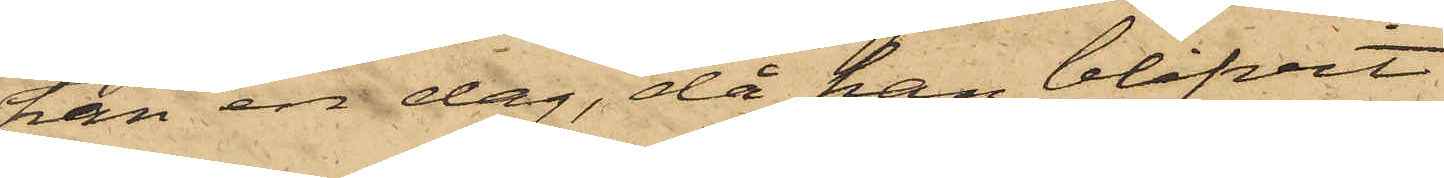han en dag, då han blifvit
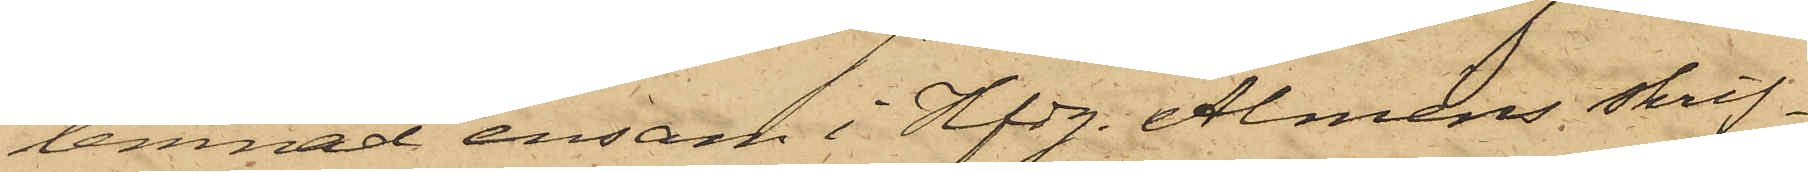lemnad ensam i Hfdg. Alméns skrif¬
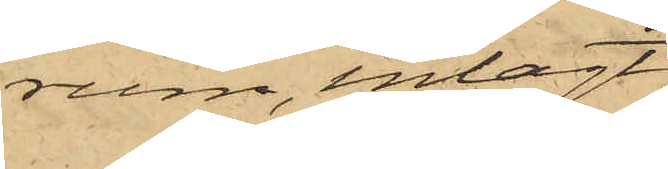rum, inlagt
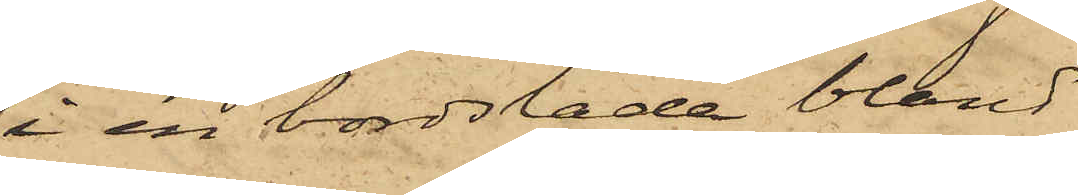i en bordslåda bland
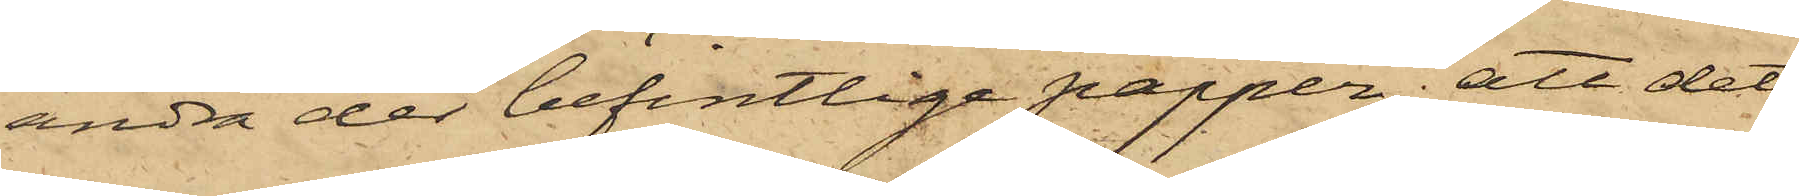andra der befintlige papper; att det
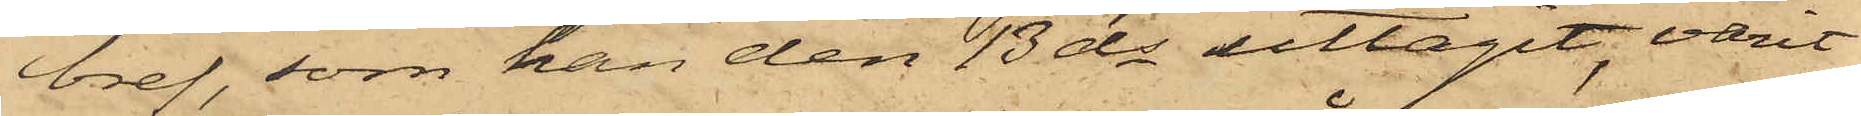bref, som han den 13 ds uttagit, varit
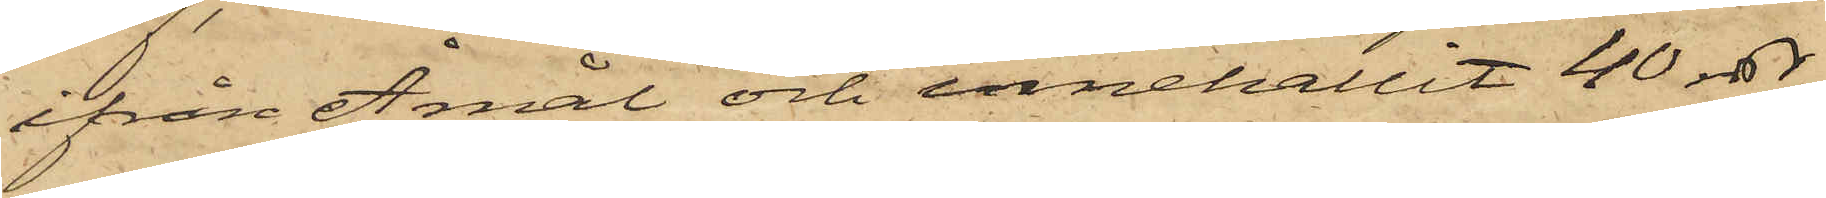ifrån Åmål och innehållit 40 rdr,
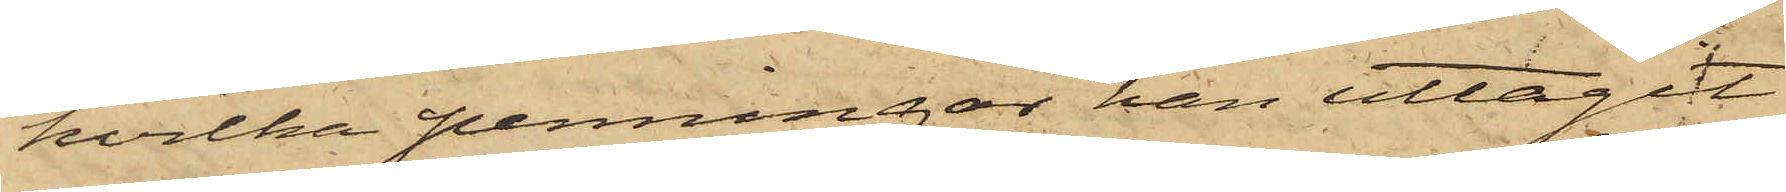hvilka penningar han uttagit
